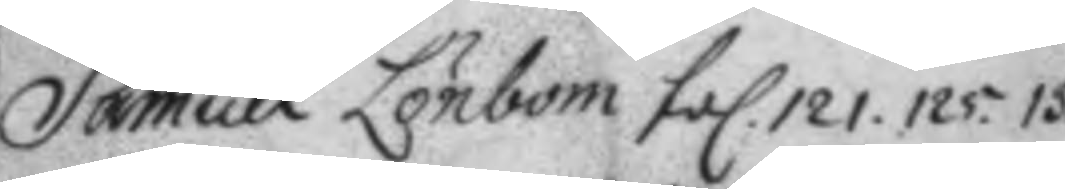Samuel Lönbom fol. 121. 125. 13
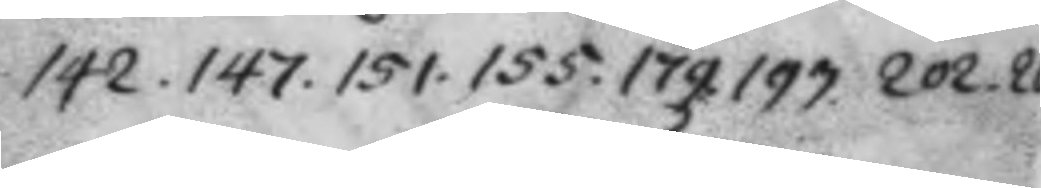142. 147. 151. 155. 179. 193. 202. 20
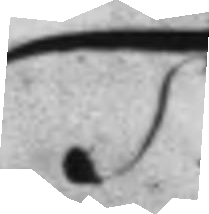T:
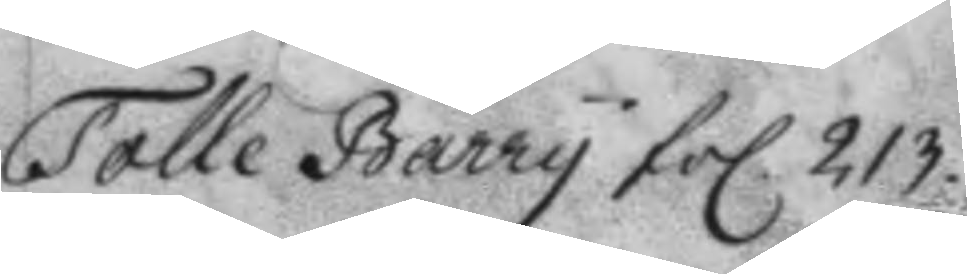Tolle Barry fol 213.
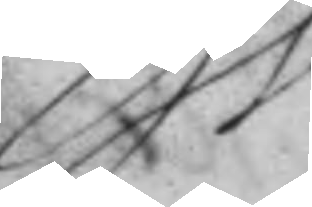W:
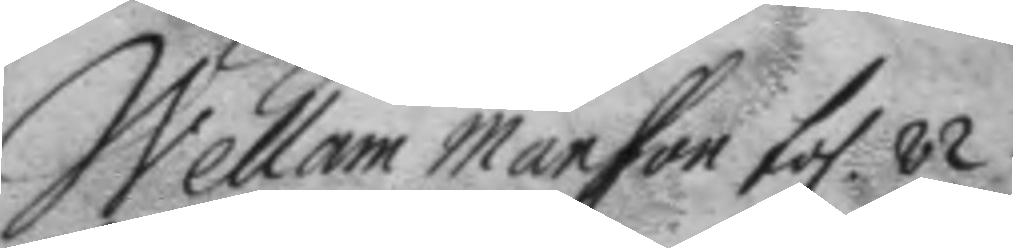Wellam Mansson fol. 82.
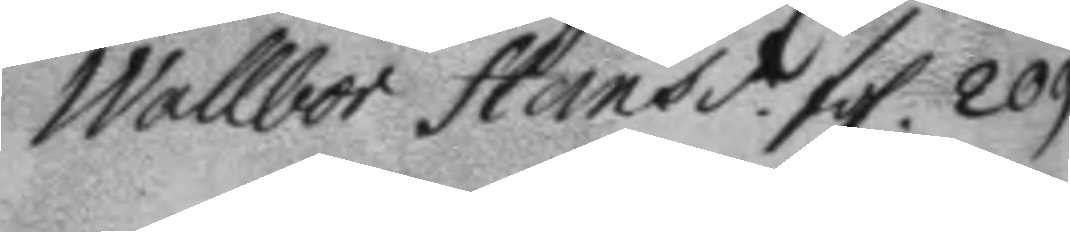Wallbor Hansd.r fol. 209.
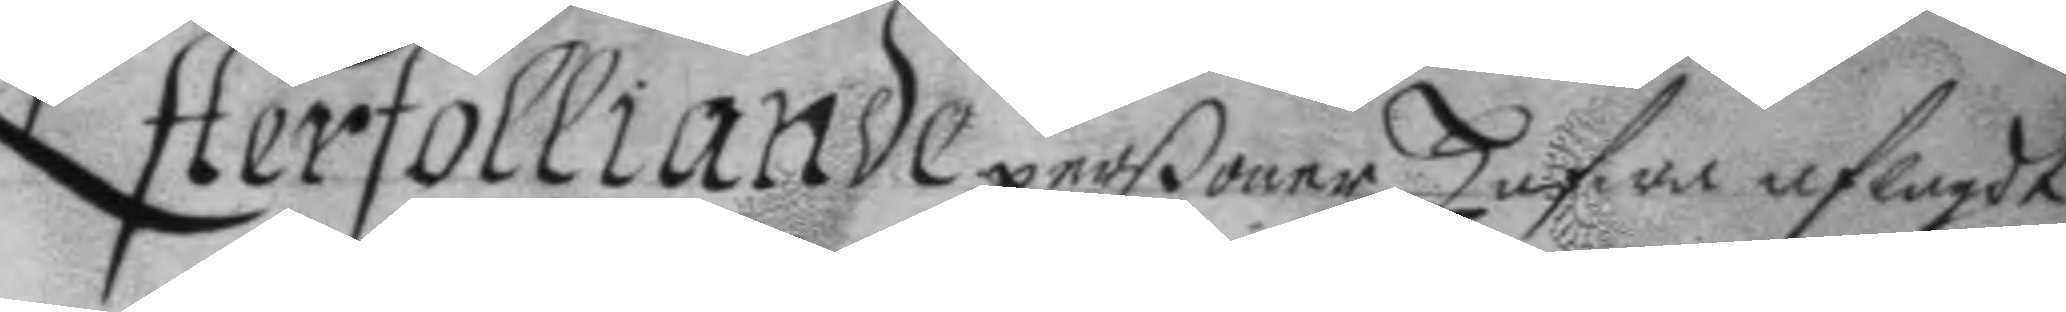Efterfölliande perßoner hafwa aflagst
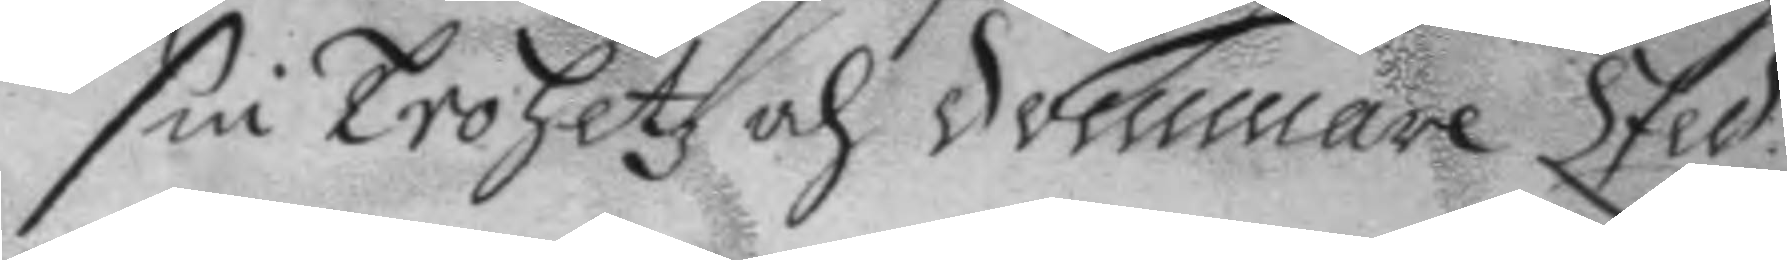sin Trohetz och dommare Eed
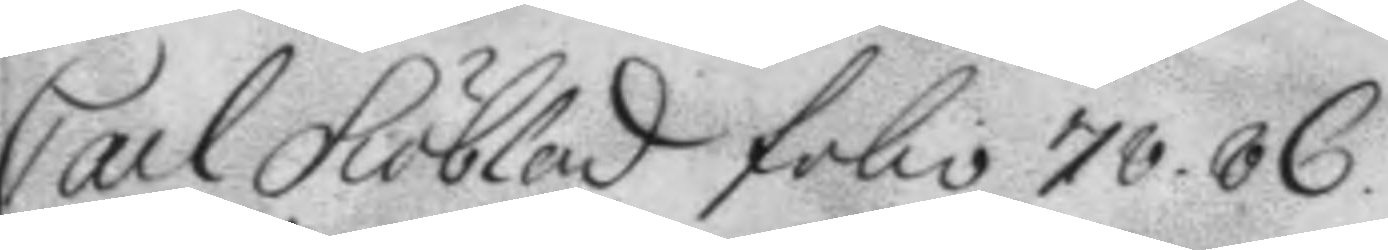Carl Siöblad folio 78. 86.
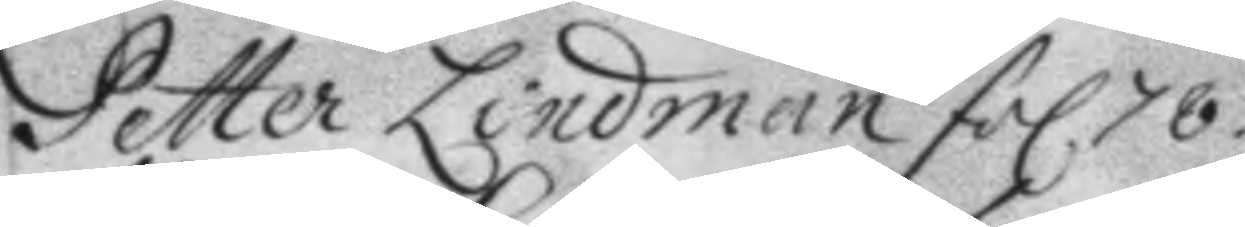Petter Lindman fol 78.
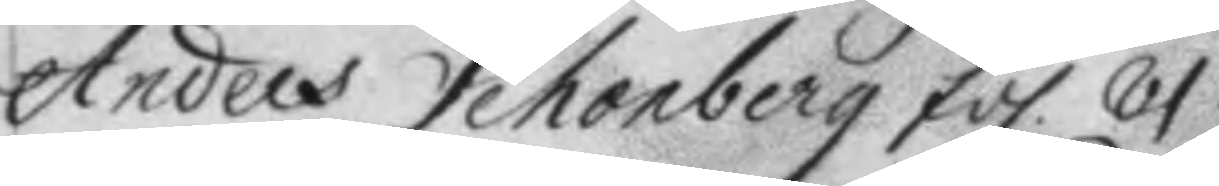Anders Schonberg fol. 81.
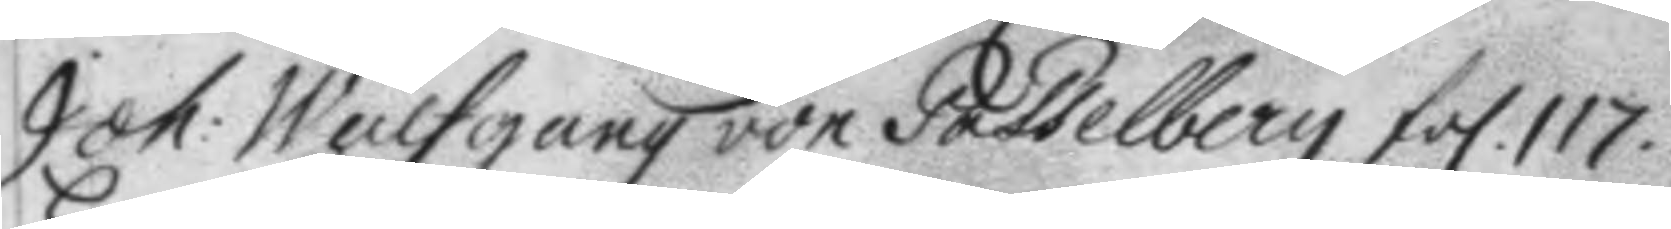Joh: Wulfgang von Posselberg fol. 117.
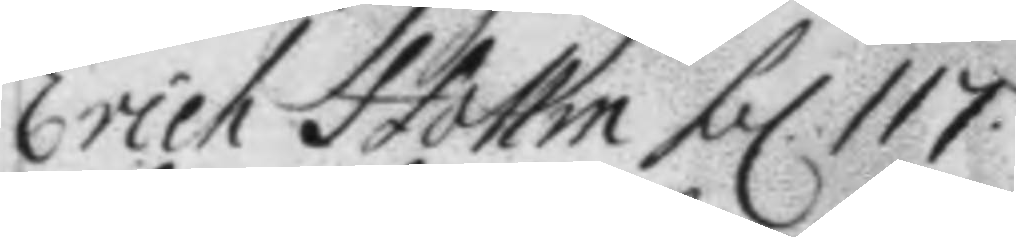Erich Hollm fol. 117.
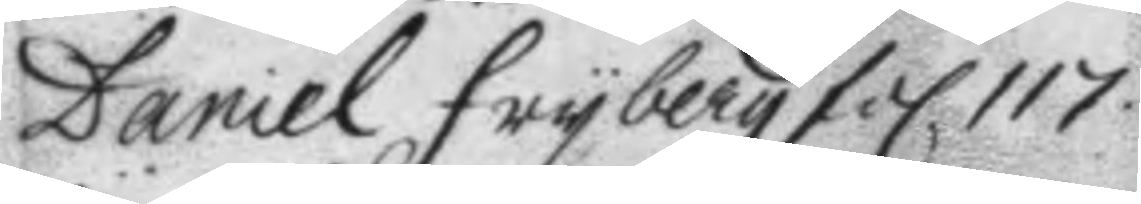Daniel fryberg fol 117.
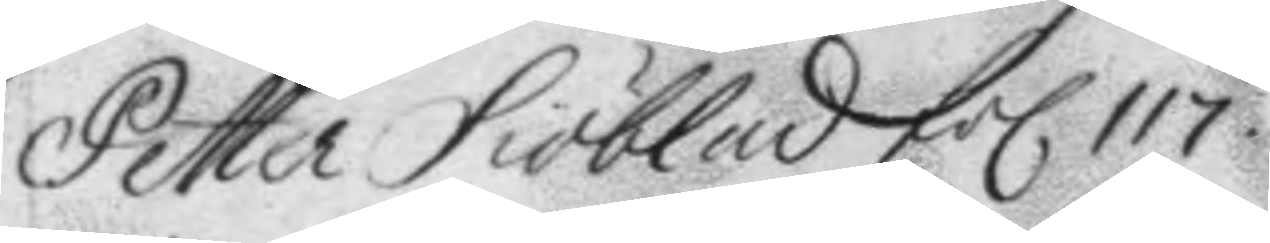Petter Siöblad fol 117.
